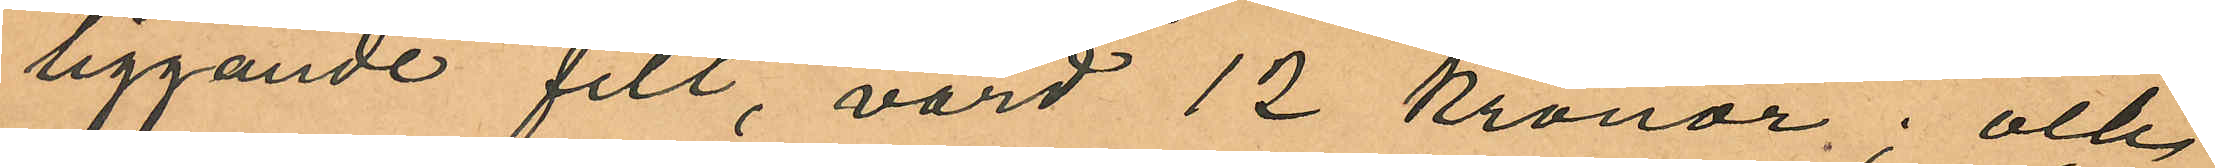liggande filt, värd 12 kronor, och
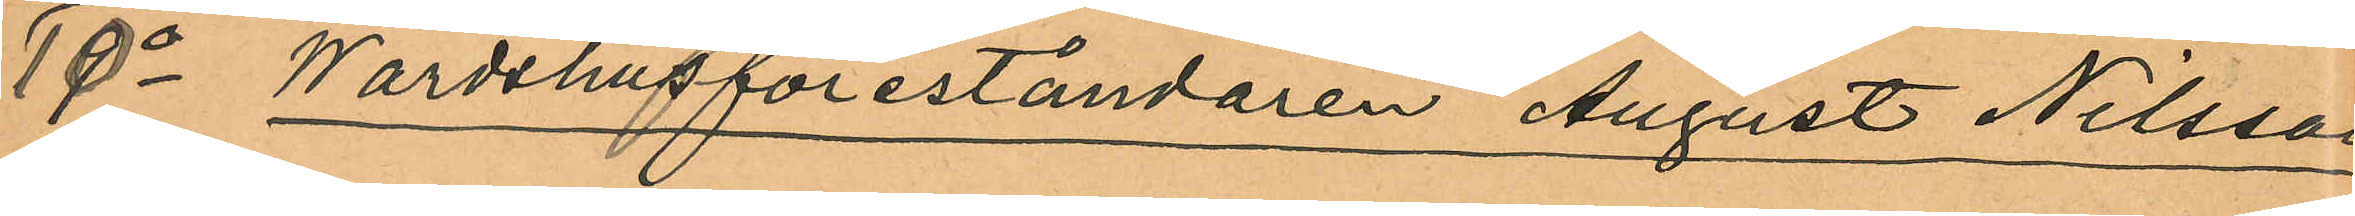10o Wärdshusföreståndaren August Nilsson
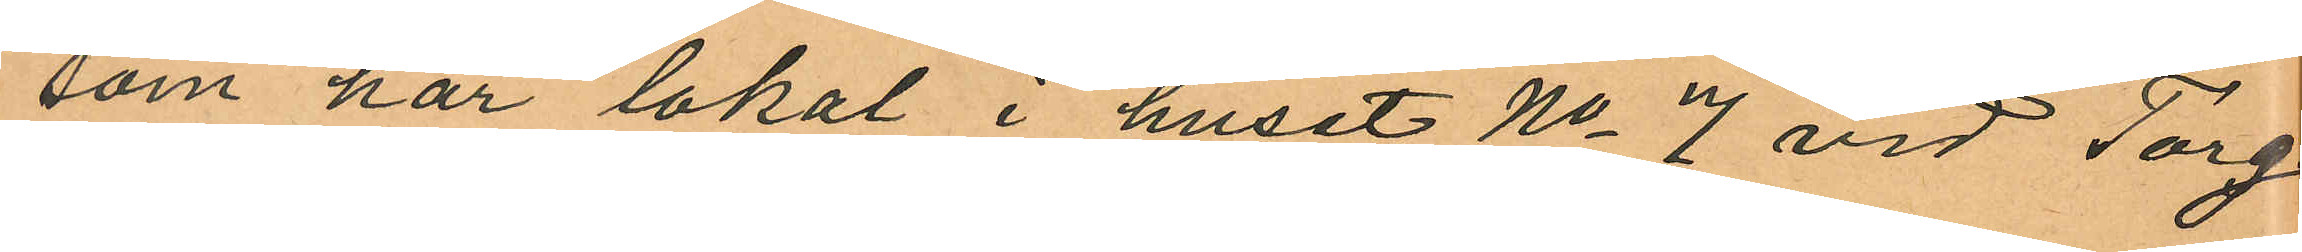som har lokal i huset No 7 vid Torg
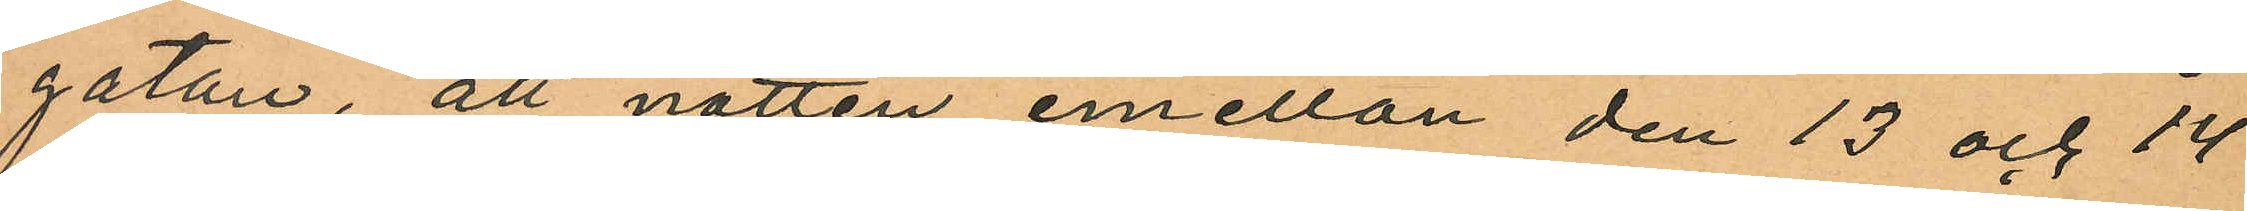gatan, att natten emellan den 13 och 14
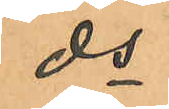ds
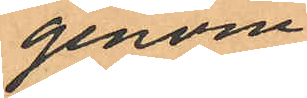genom
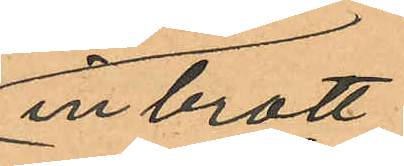inbrott
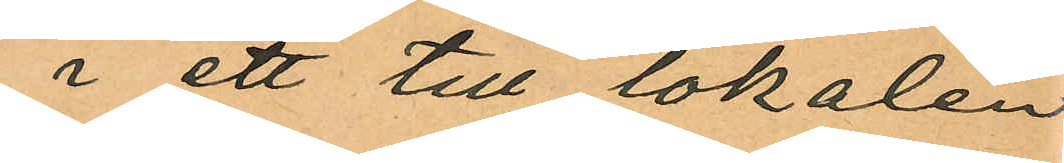i ett till lokalen
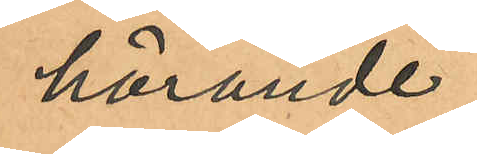hörande
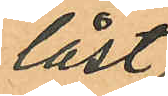låst
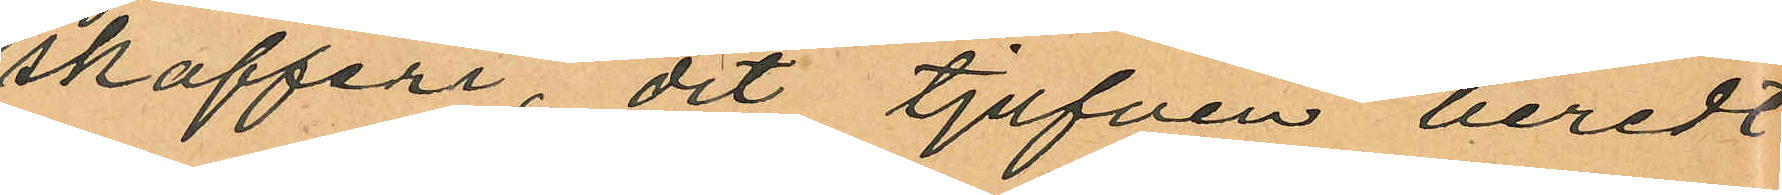skafferi, dit tjufven beredt
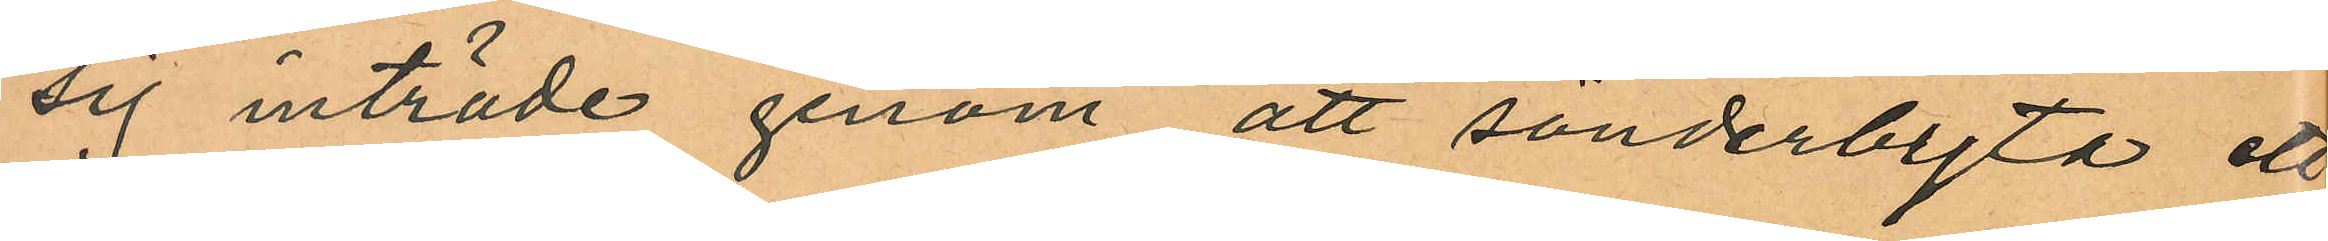sig inträde genom att sönderbyta ett
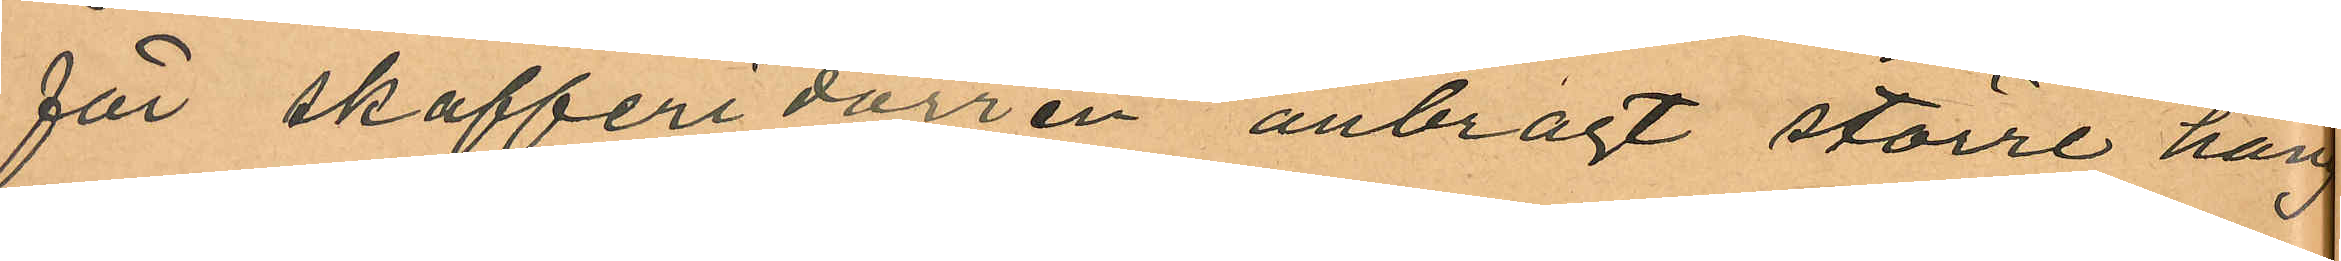för skafferidörren anbragt större häng
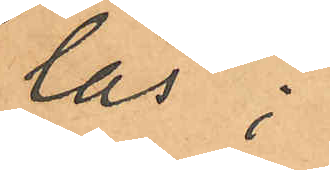lås;
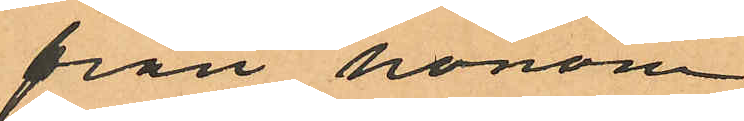från honom
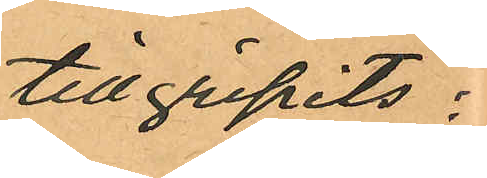tillgripits:
